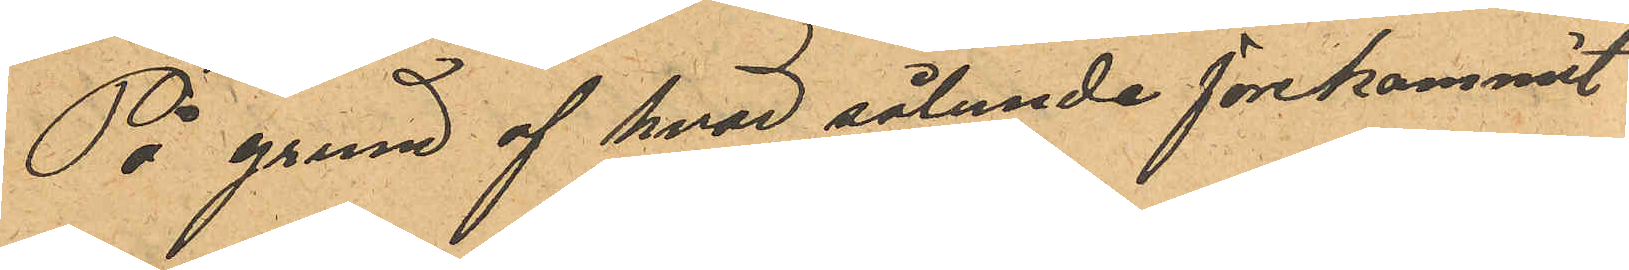På grund af hvad sålunda förekommit
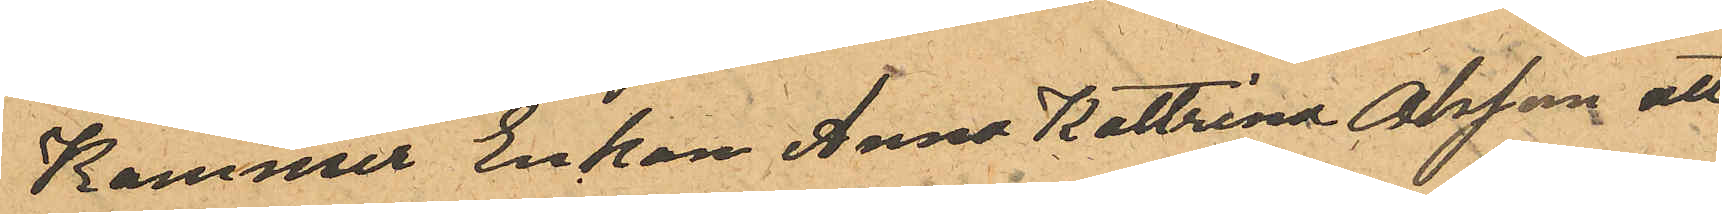Kommer Enkan Anna Kattrina Olsson att
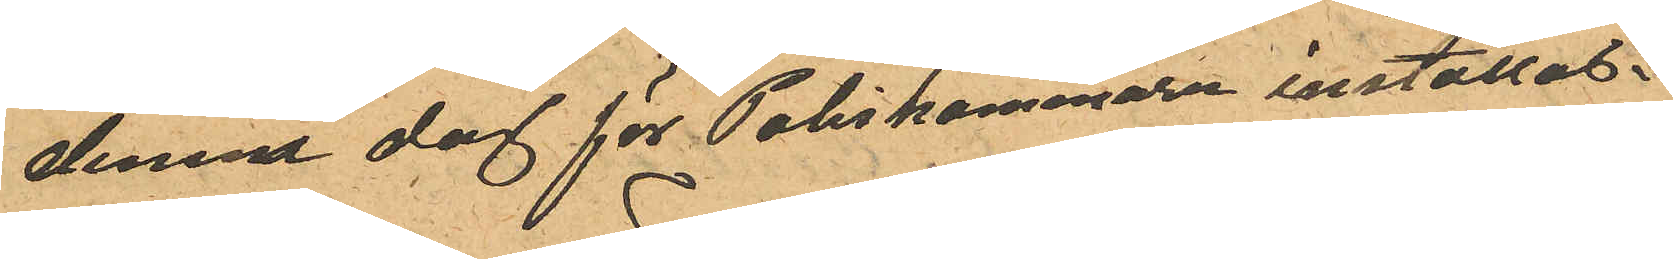denne dag för Poliskammare inställas.
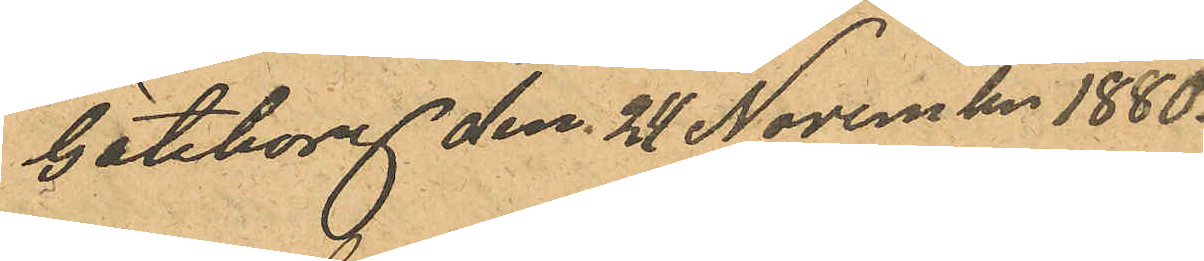Göteborg den 21 November 1880.
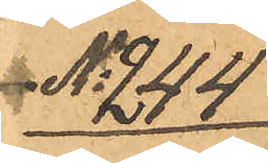No 244
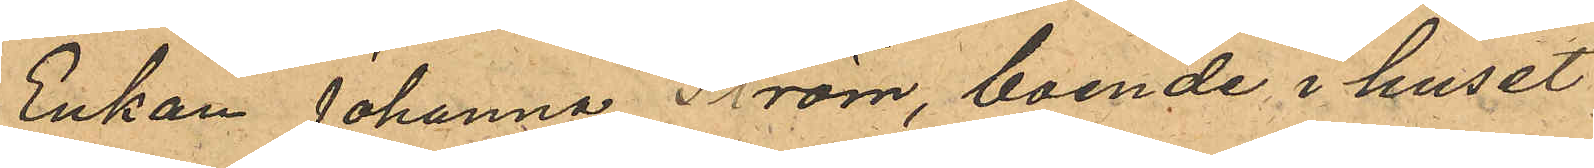Enkan Johanna Ström, boende i huset
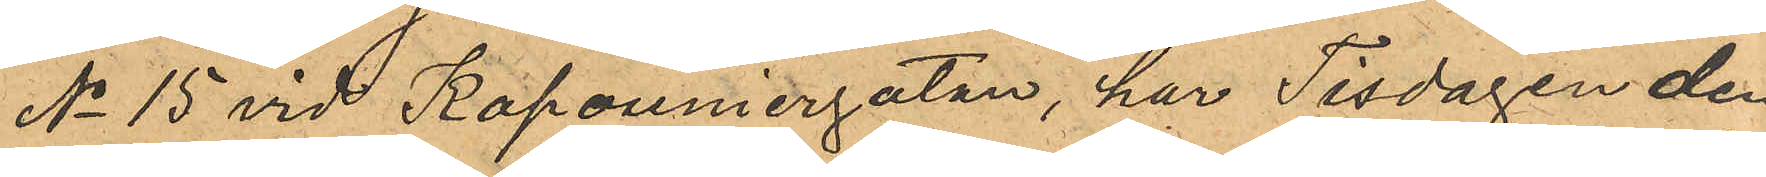No 15 vid Kapouniergatan, har Tisdagen den
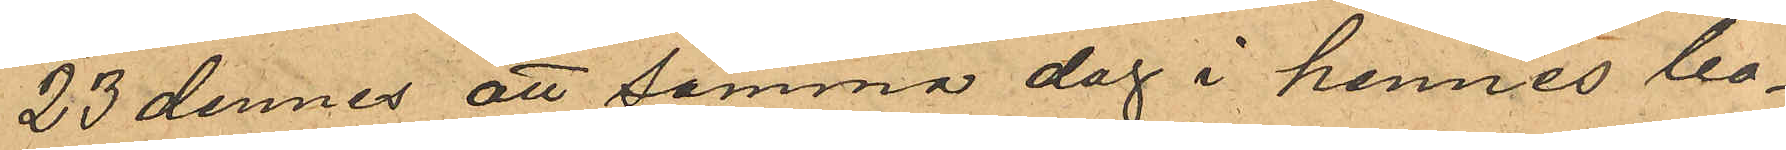23 dennes att samma dag i hennes bo¬
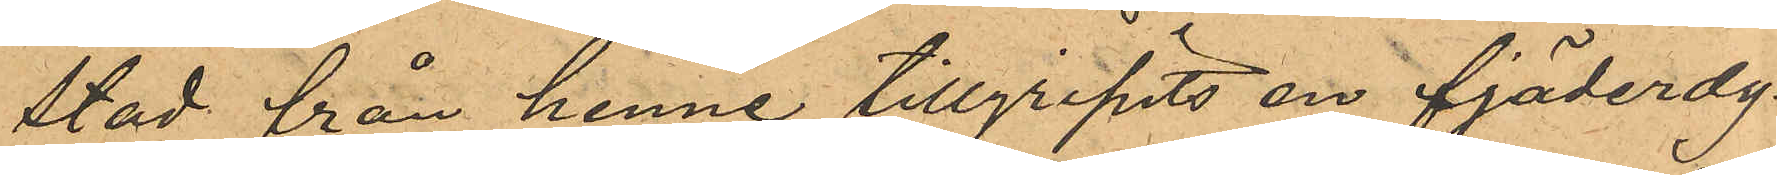stad från henne tillgripits en fjäderdy¬
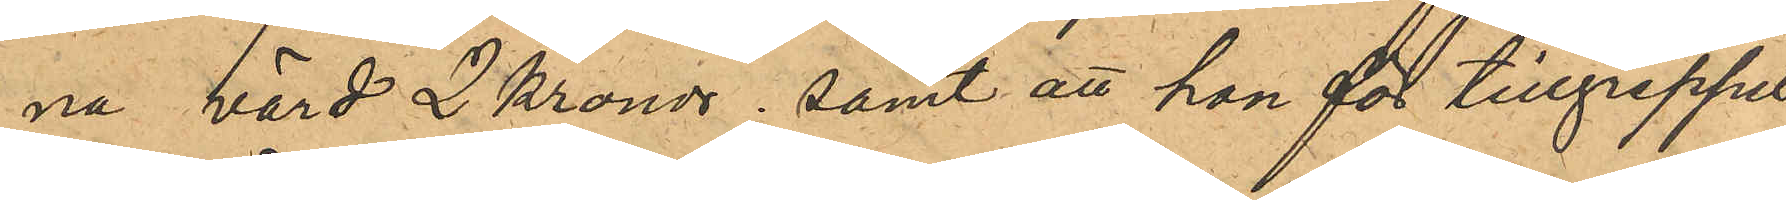na, värd 2 Kronor; samt att hon för tillgreppet
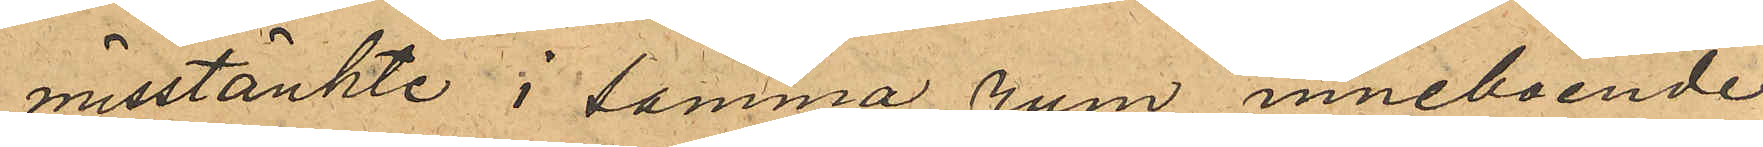misstänkte i samma rum inneboende
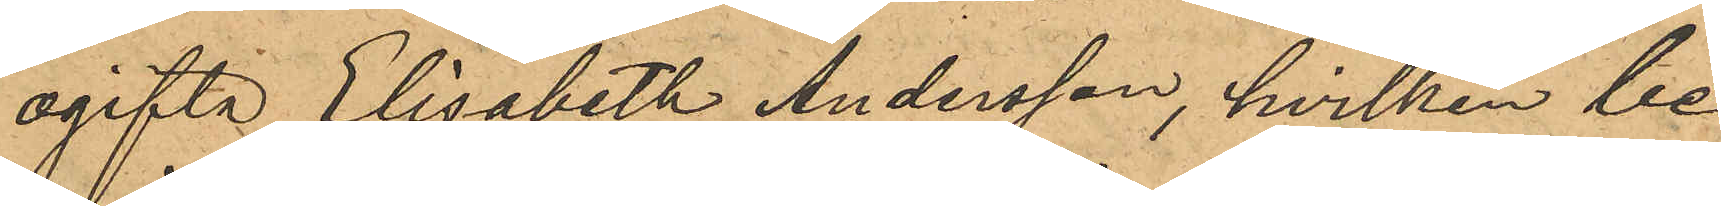ogifta Elisabeth Andersson, hvilken be¬
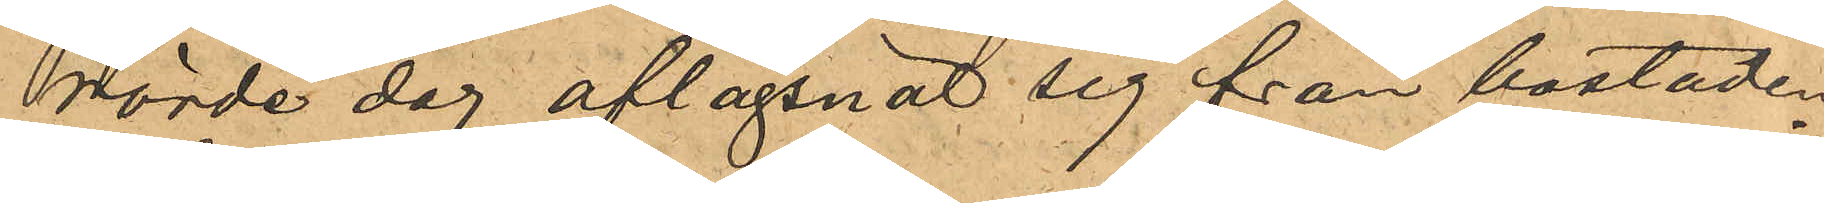rörde dag aflägsnat sig från bostaden.
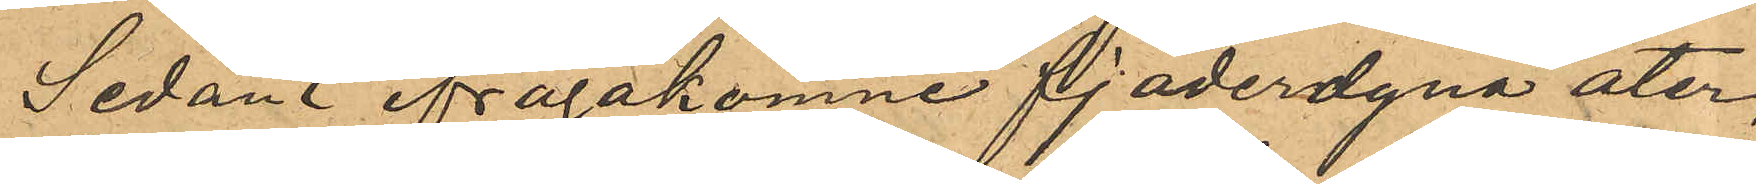Sedan ifrågakomne fjäderdyna åter¬
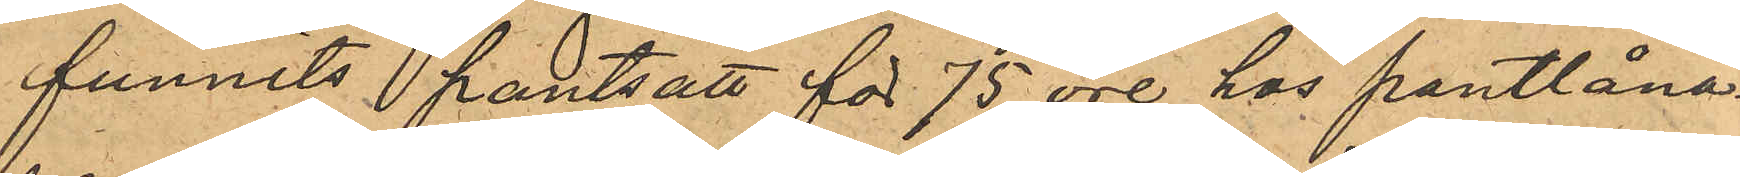funnits pantsatt för 75 öre hos pantlåna¬
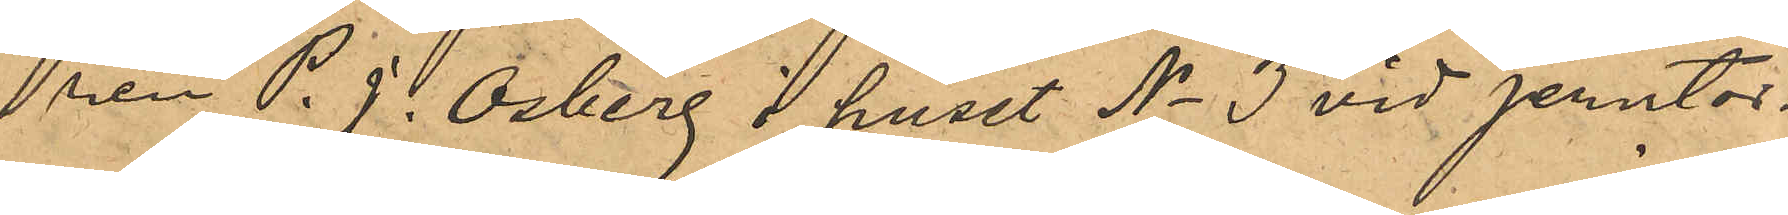dren P. J. Osberg i huset No 3 vid Jerntor¬
